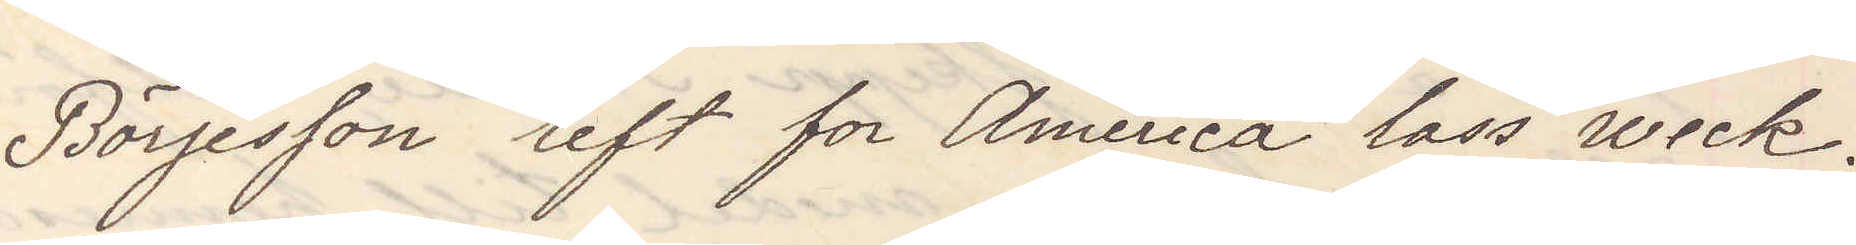Börjesson left for America lass week.
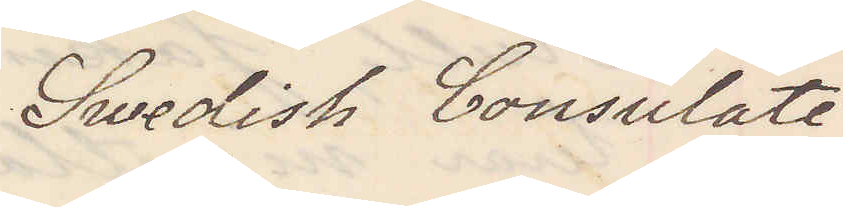Swedish Consulate
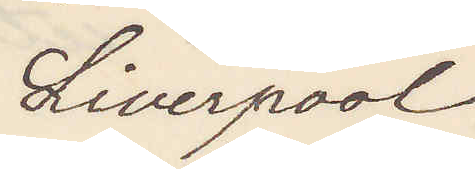Liverpool
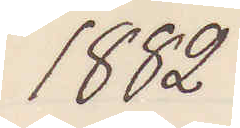1882
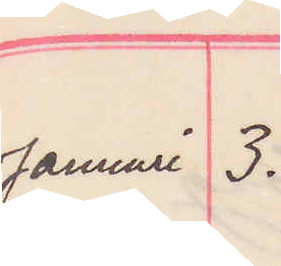Januari 3.
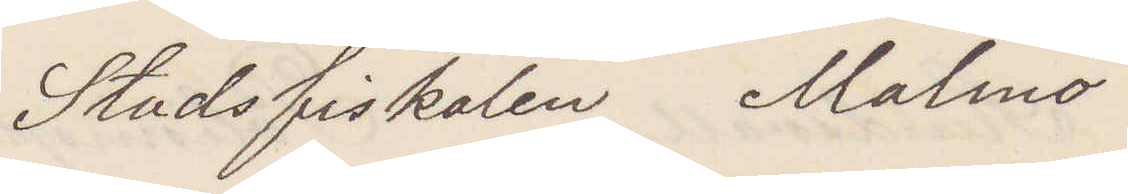Stadsfiskalen  Malmö
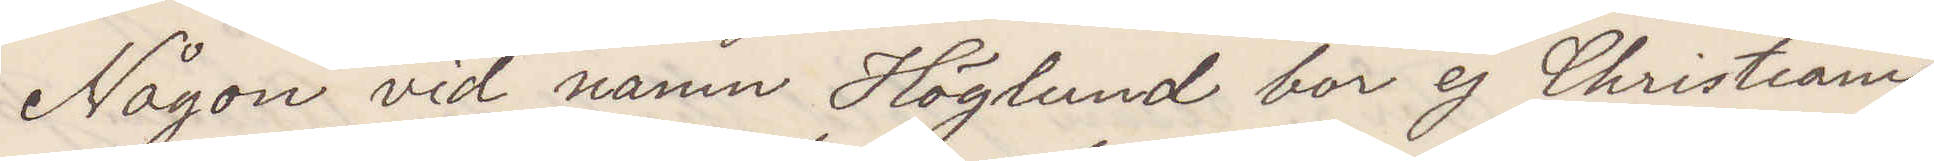Någon vid namn Höglund bor ej Christiania
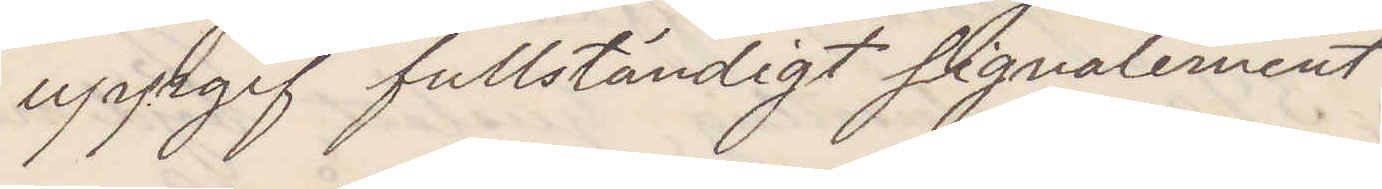uppgif fullständigt signalement.
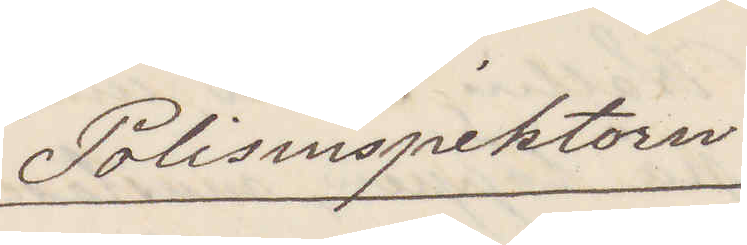Polisinspektorn
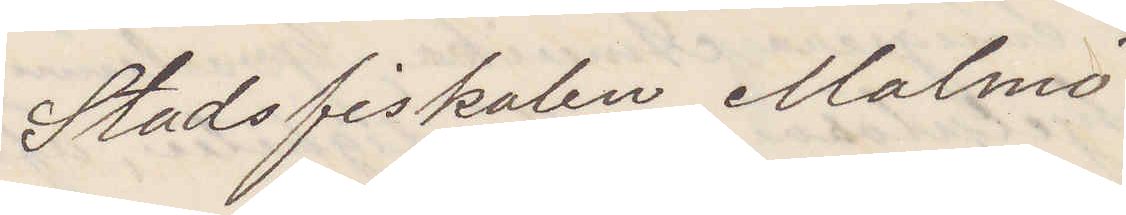Stadsfiskalen Malmö
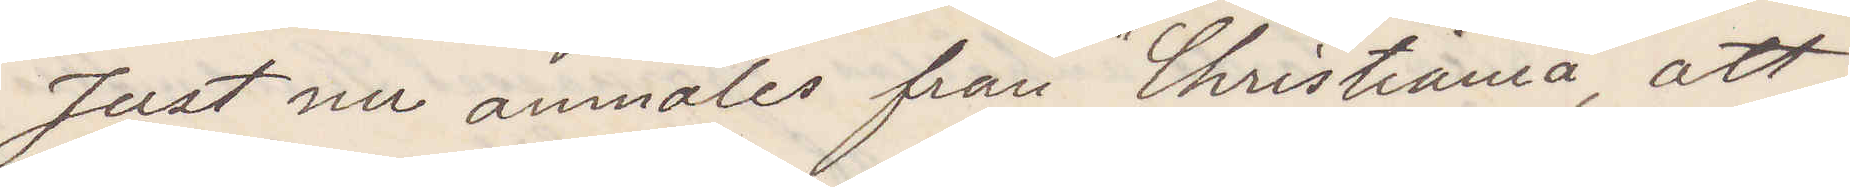Just nu anmäles från "Christiania", att
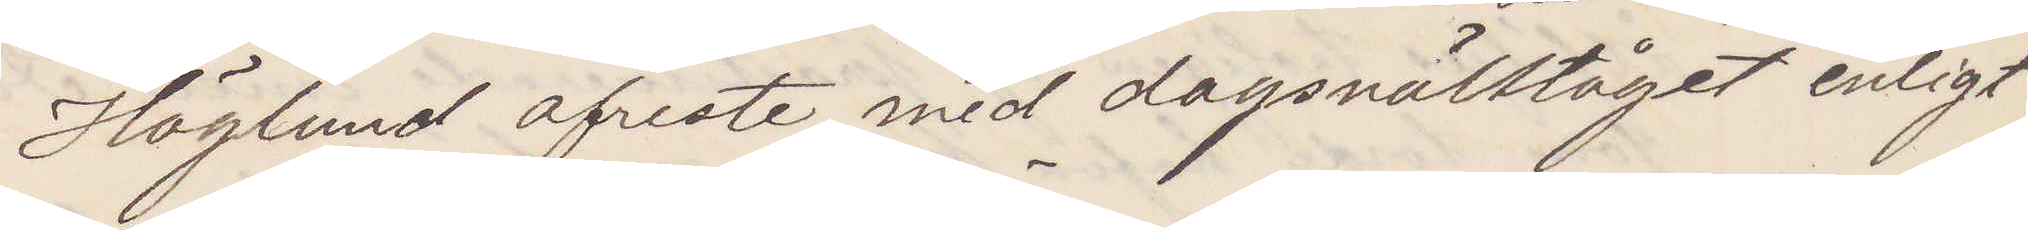Höglund afreste med dagsnälltåget enligt
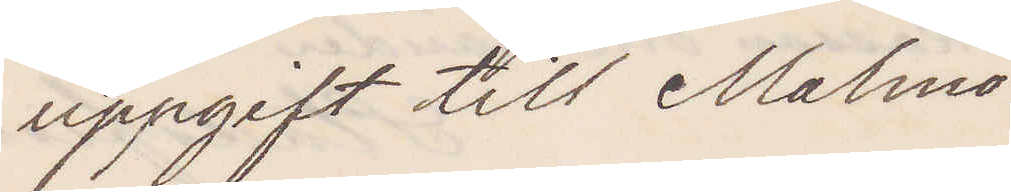uppgift till Malmö
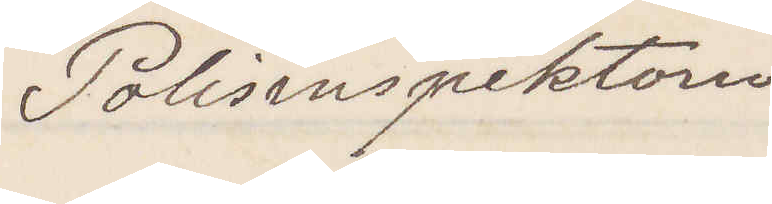Polisinspektorn
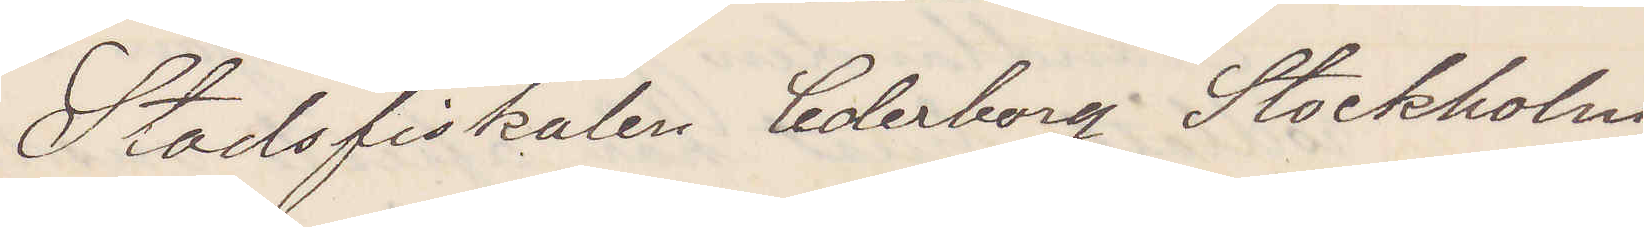Stadsfiskalen Cederborg Stockholm
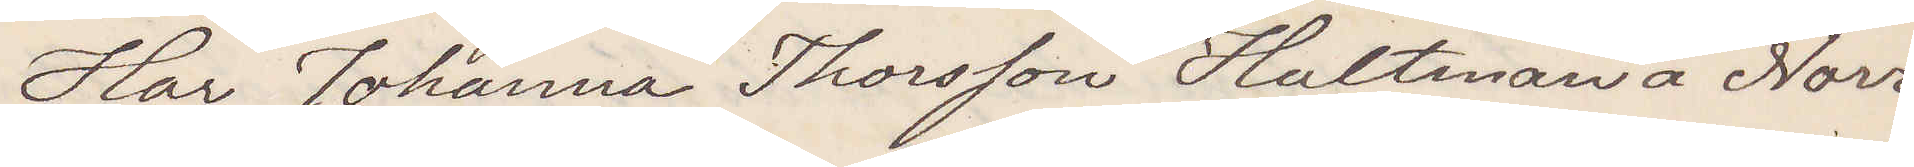Har Johanna Thorssen Hultman å Norr¬
